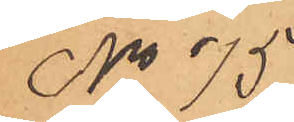No 75.
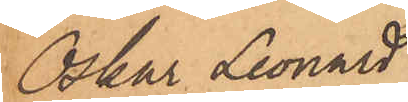Oskar Leonard
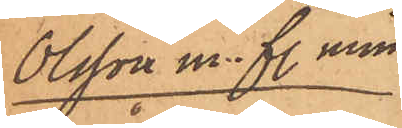Olsson m. fl. min¬
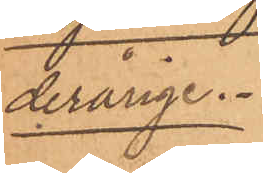derårige
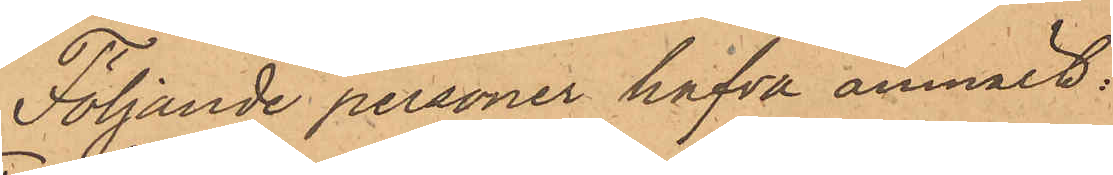Följande personer hafva anmält:
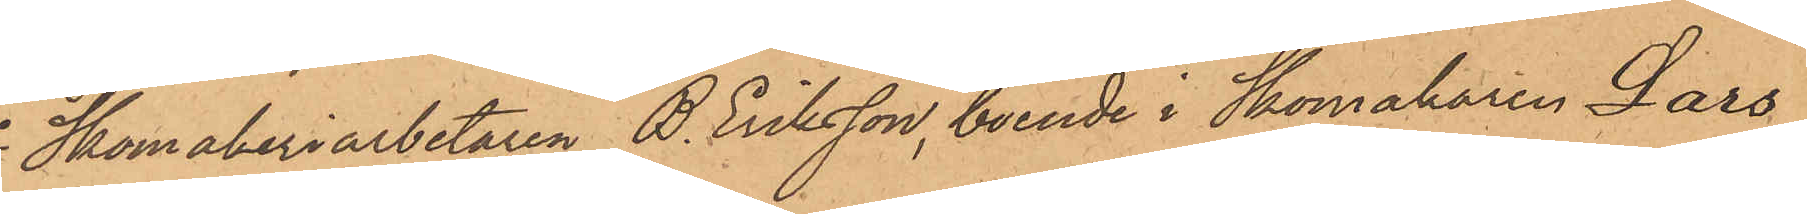1o Skomakeriarbetaren B. Eriksson, boende i Skomakaren Lars
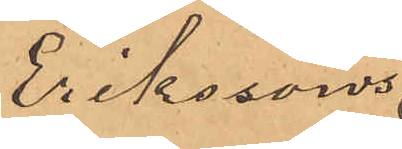Erikssons
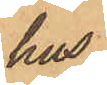hus
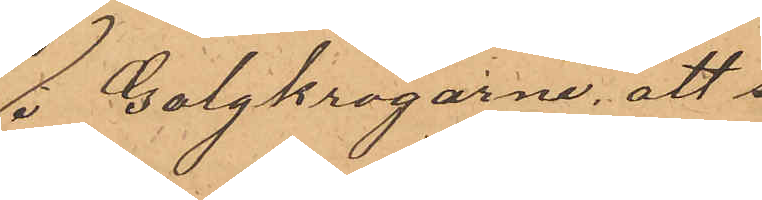i Galgkrogarne, att 
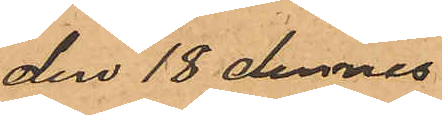den 18 dennes
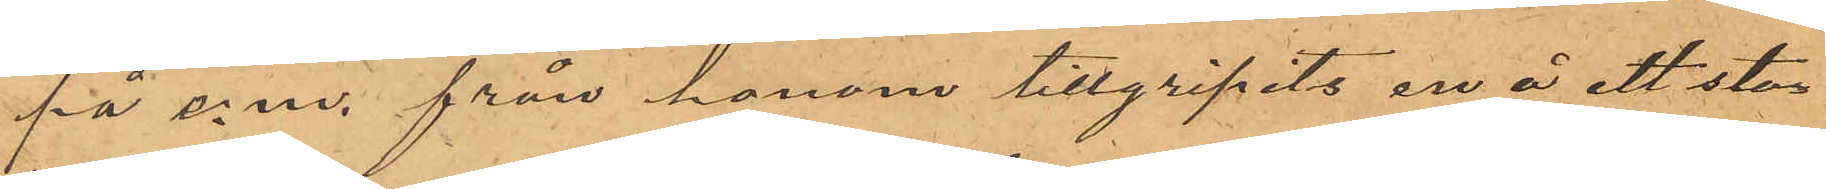på e. m. från honom tillgripits en å ett sta¬
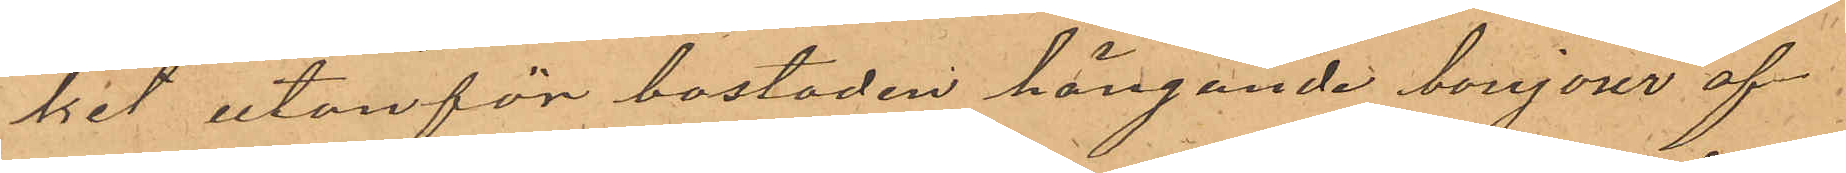ket utanför bostaden hängande bonjour af
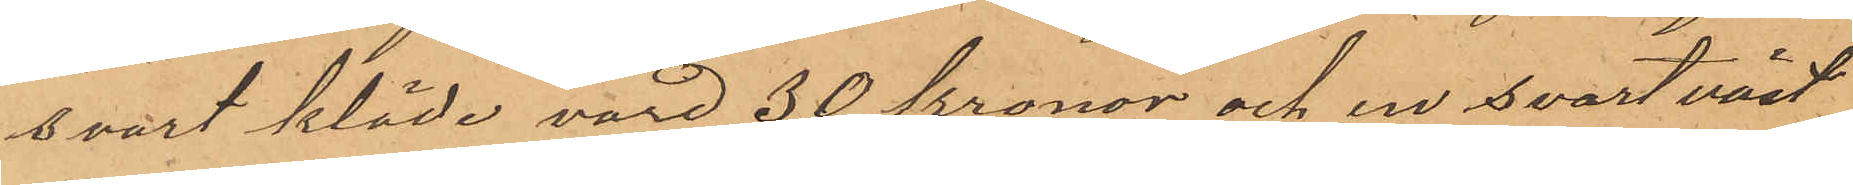svart kläde, värd 30 kronor och en svart väst
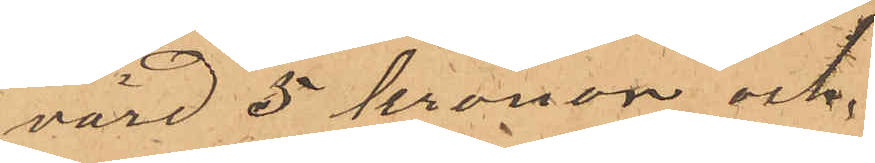värd 5 kronor och,
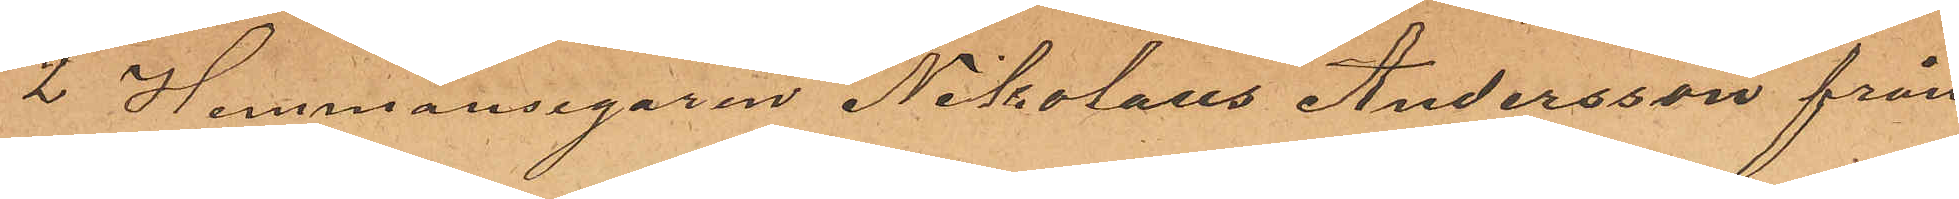2 Hemmansegaren Nikolaus Andersson från
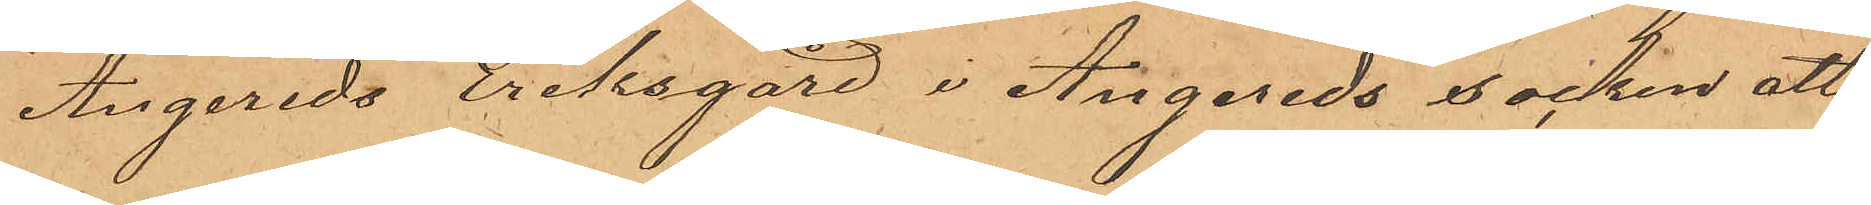Angereds Eriksgård i Angereds socken att
